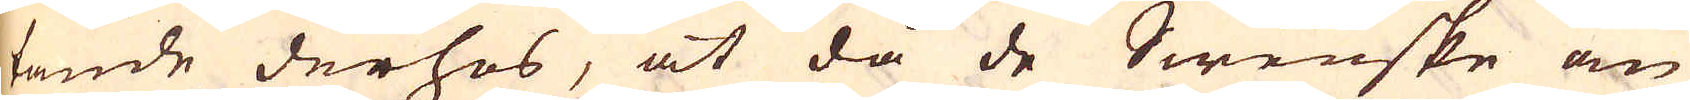tande derhos, at då de Swenske om
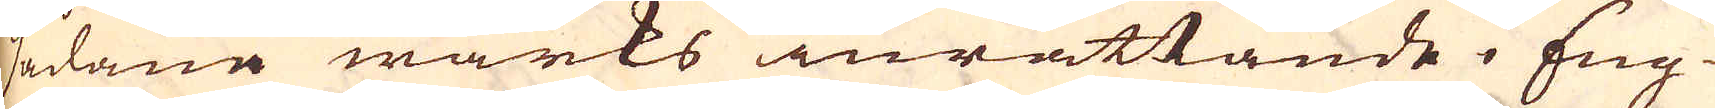sådana wärks inrättande i Eng-
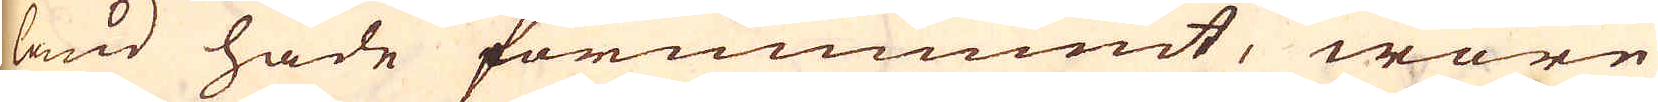land hade förnummit, wore
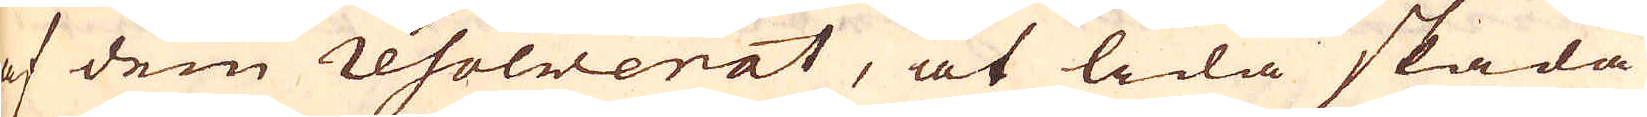af dem resolwerat, at lida skada
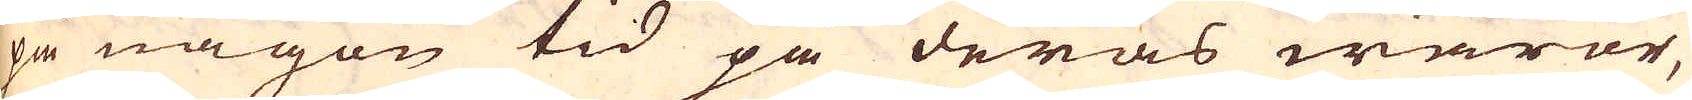på någon tid på deras waror,
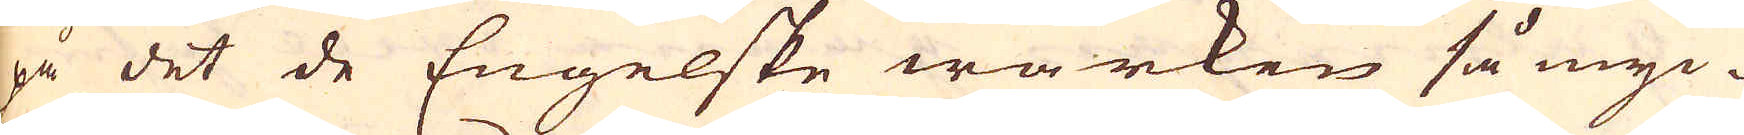på det de Engelske wärken så myc-
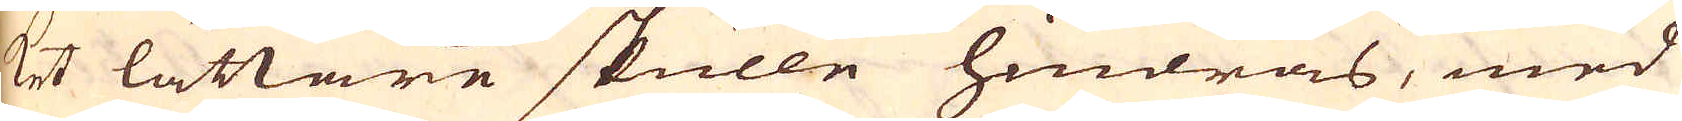ket lättare skulle hindras, med
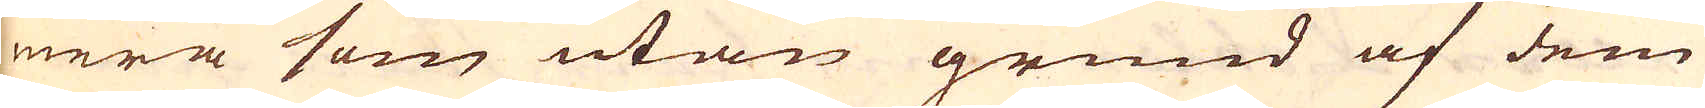mera som utan grund af dem
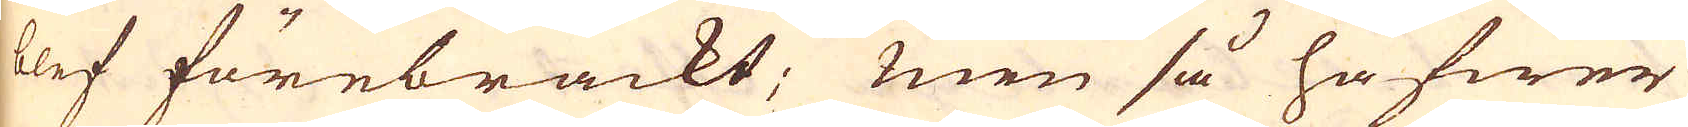blef förebrackt; men så hafwer
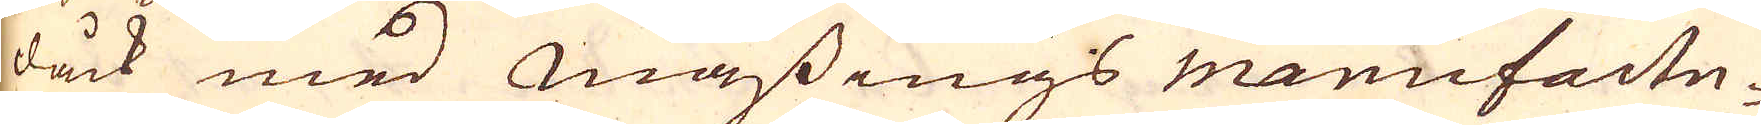dåck med Mässings manufactu-
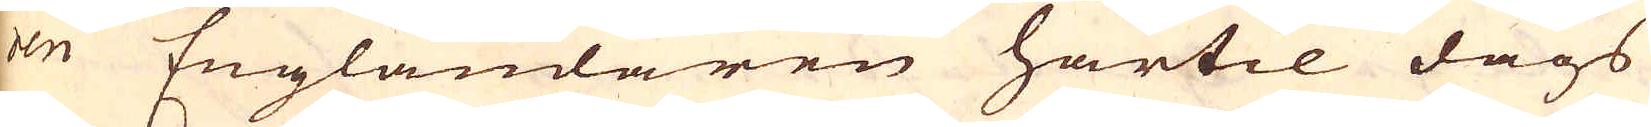ren Engländaren härtil dags
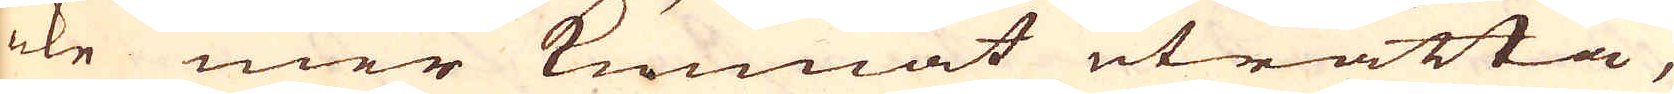icke mer kunnat uträtta,
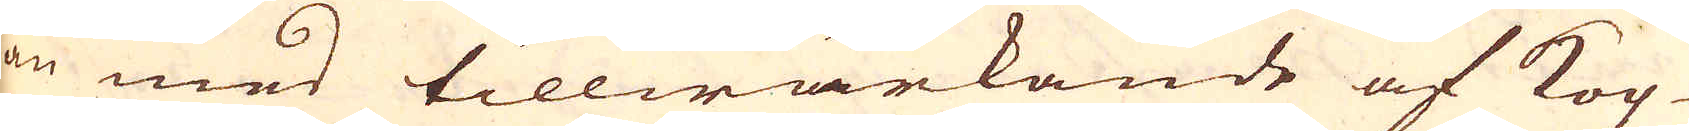än med tillwärkande af Kop-
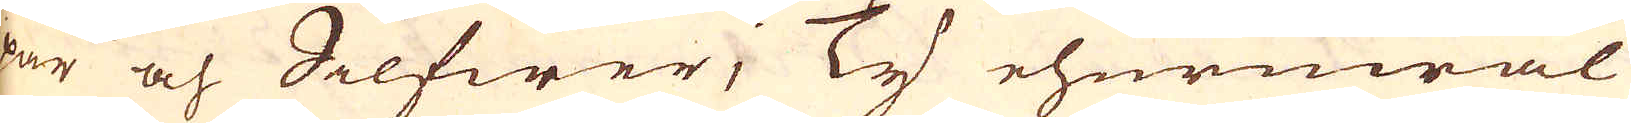par och Silfwer, Ty ehuruwäl
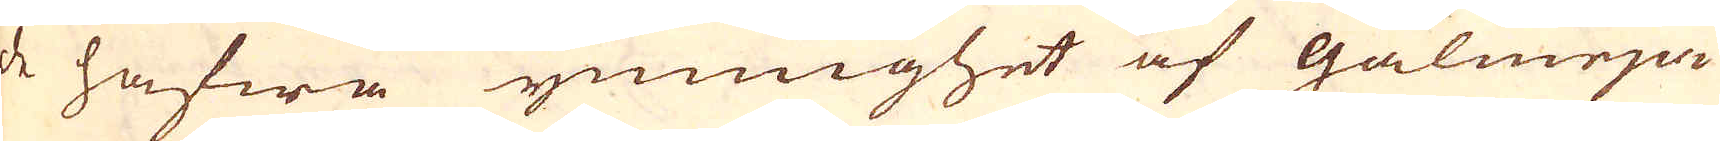de hafwa ymnnighet af galmeja
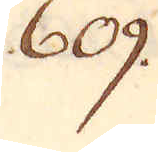609.
